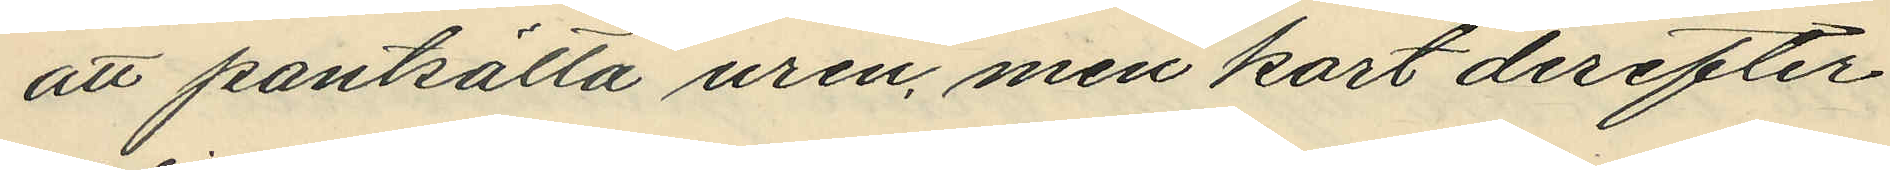att pantsätta uren, men kort derefter
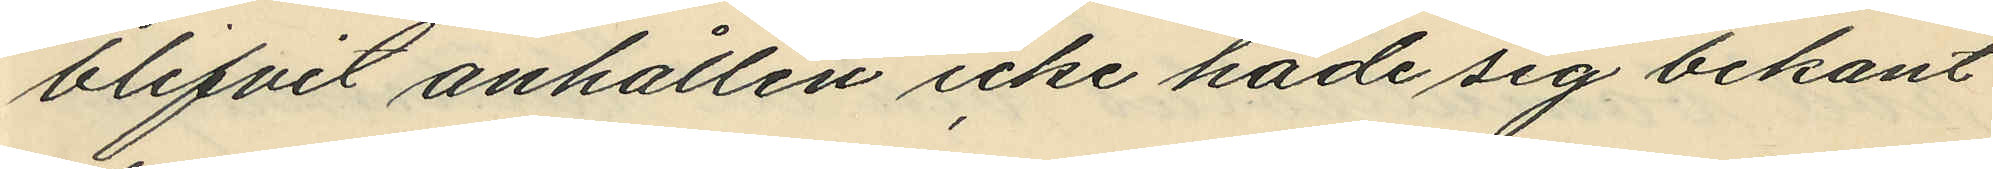blifvit anhållen icke hade sig bekant
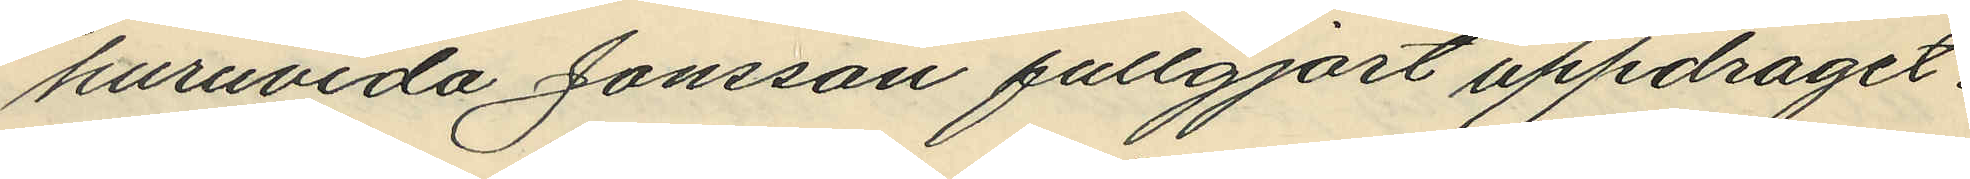huruvida Jonsson fullgjort uppdraget.
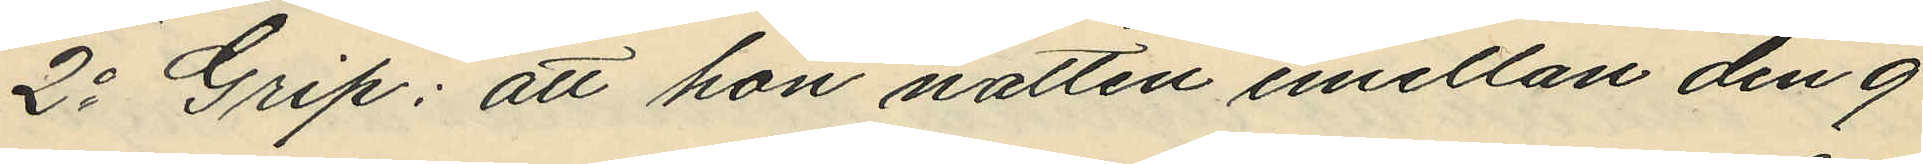2o Grip: att hon natten emellan den 9
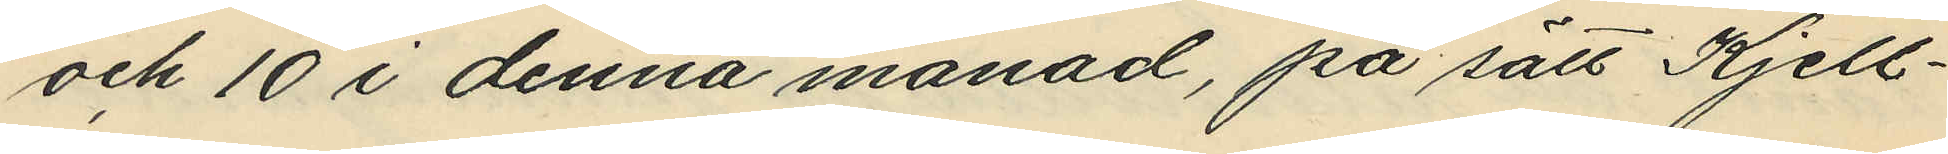och 10 i denna månad, på sätt Kjell¬
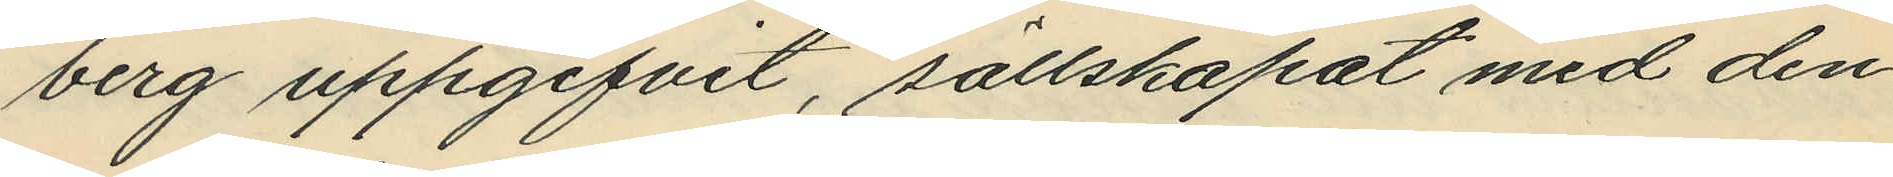berg uppgifvit, sällskapat med den¬
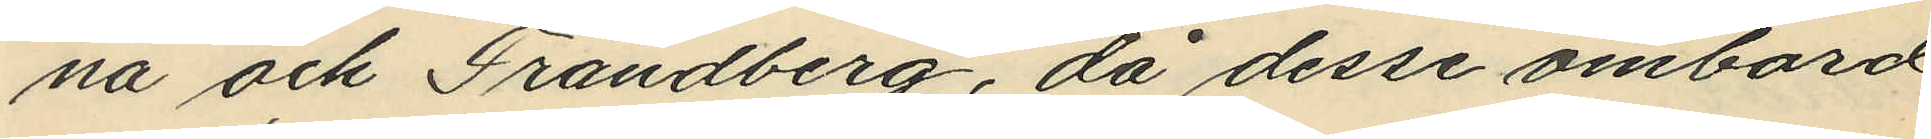na och Frändberg, då desse ombord
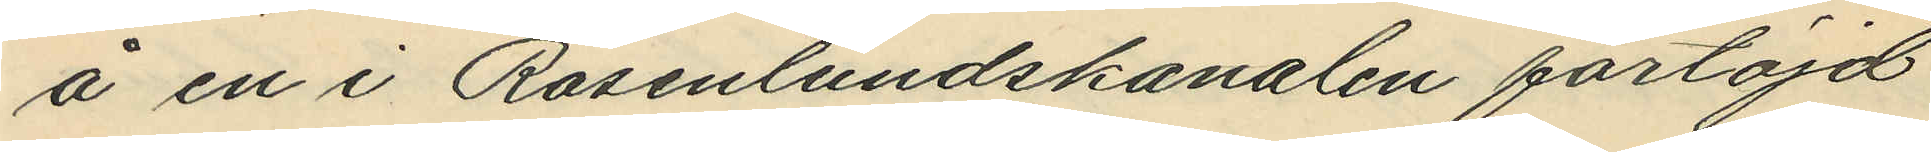å en i Rasenlundskanalen förtöjd
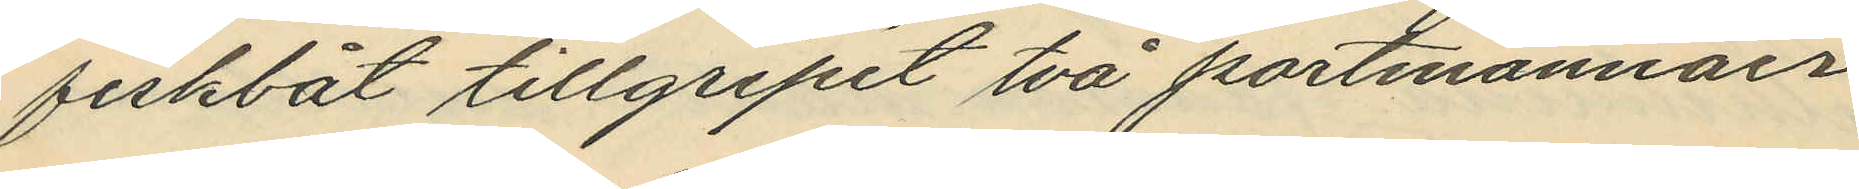fiskbåt tillgripit två portmonnäer
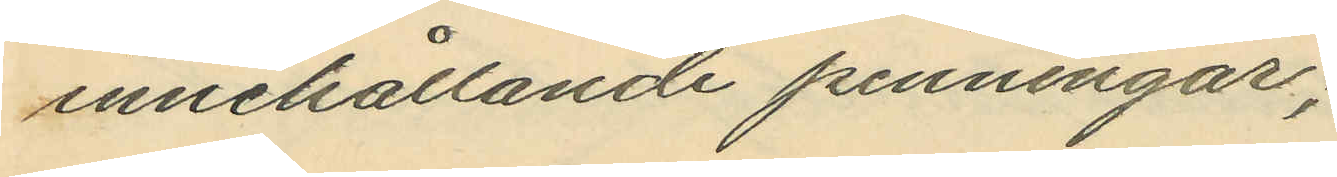innehållande penningar;
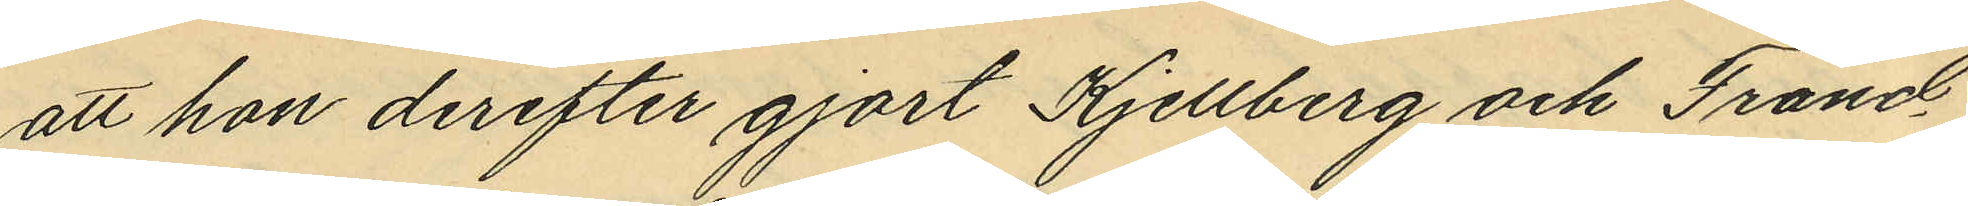att hon derefter gjort Kjellberg och Fränd¬
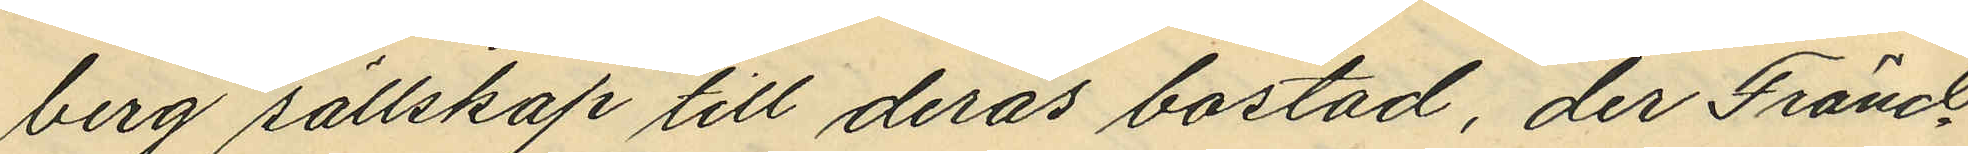berg sällskap till deras bostad, der Fränd¬
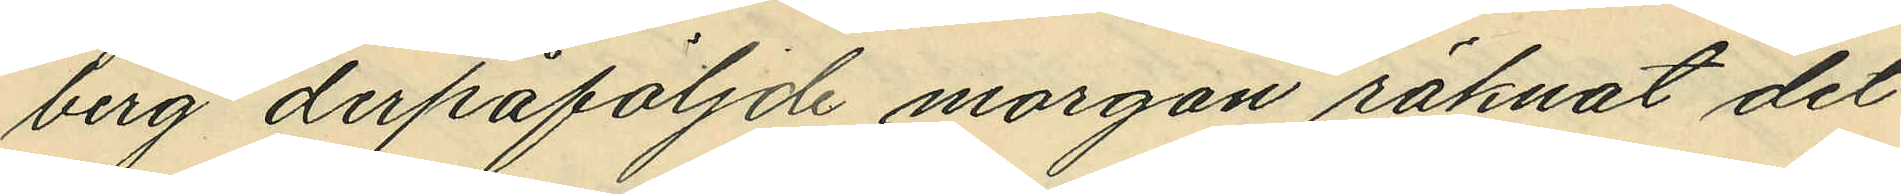berg derpåföljde morgon räknat det
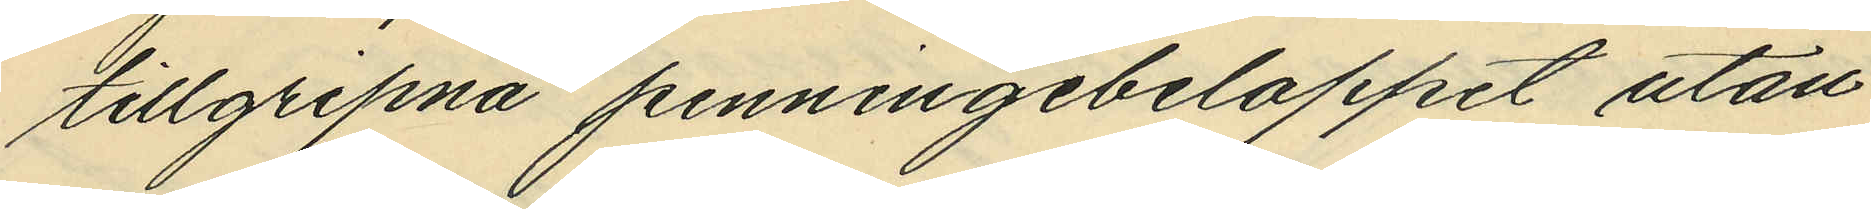tillgripna penningebeloppet utan
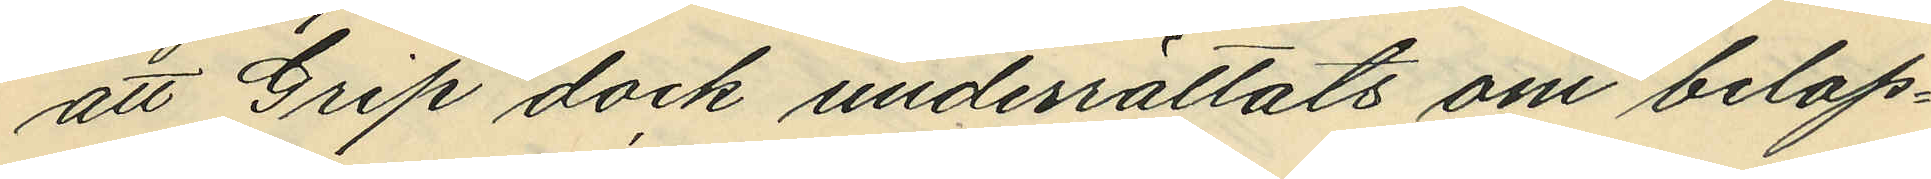att Grip dock underrättats om belop¬
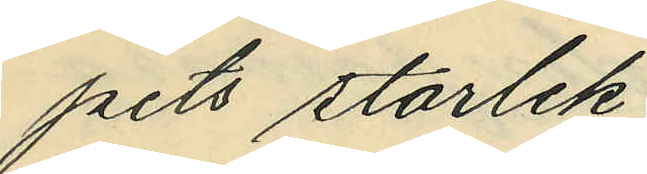pets storlek;
